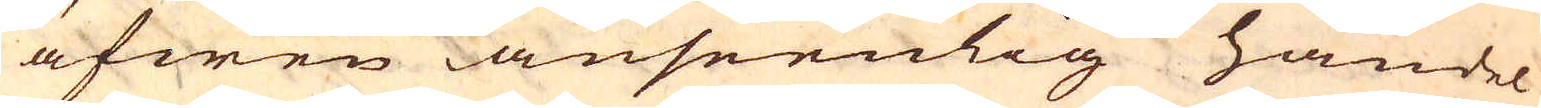äfwen anseenlig handel
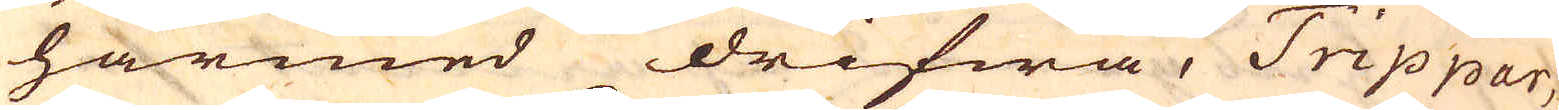härmed drifwa, Trippar,
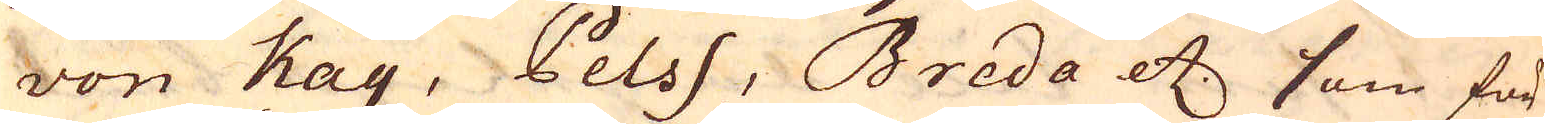von Kay, Pelss, Breda etc som för
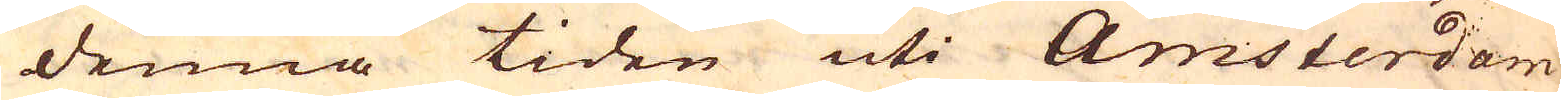denna tiden uti Amsterdam
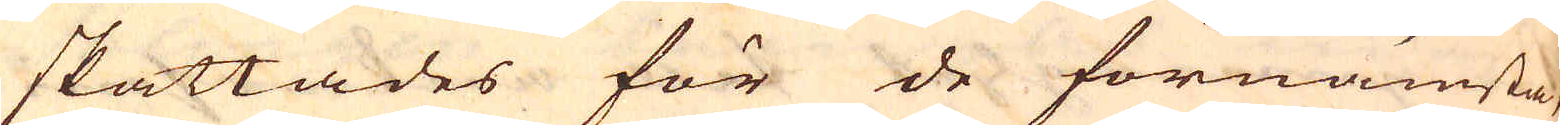skattades för de förnämsta,
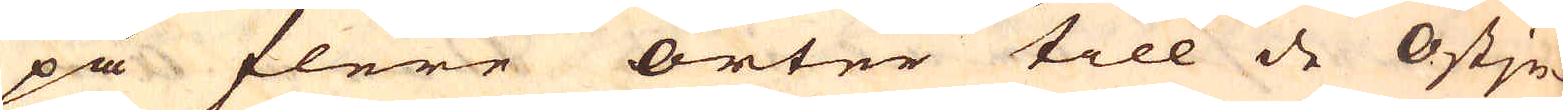på flere orter till de Ostjn-
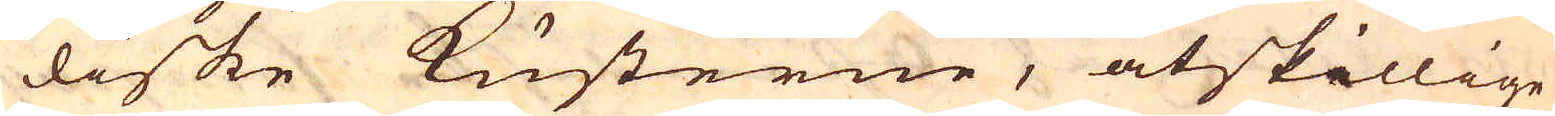diske kusterne, åtskillige
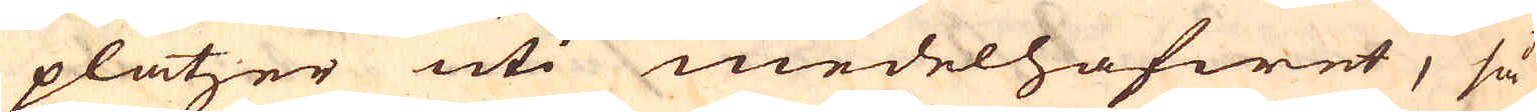platzer uti medelhafwet, så
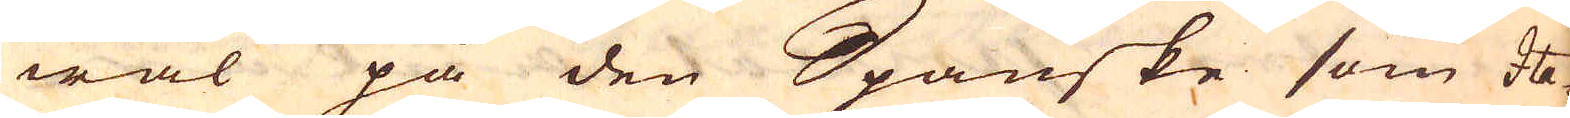wäl på den Spanske som Ita-
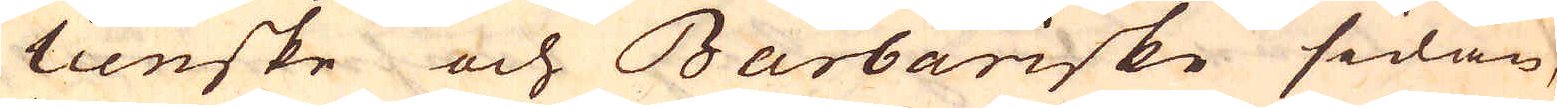lienske och Barbariske sidan,
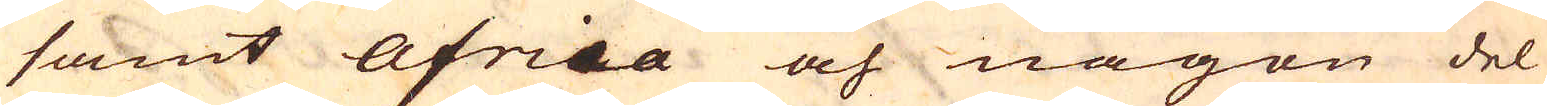samt Africa och någon del
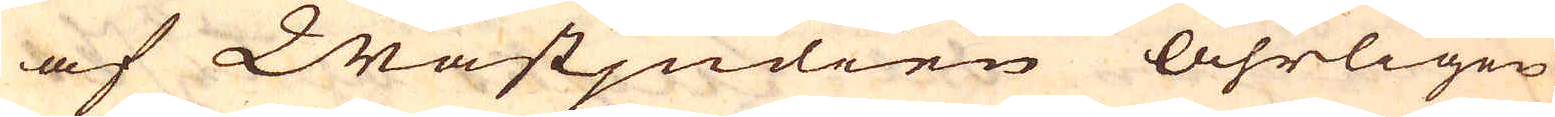af Wästjndien åhrligen
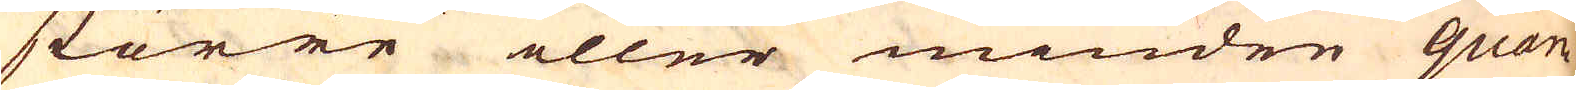större eller mindre quan-
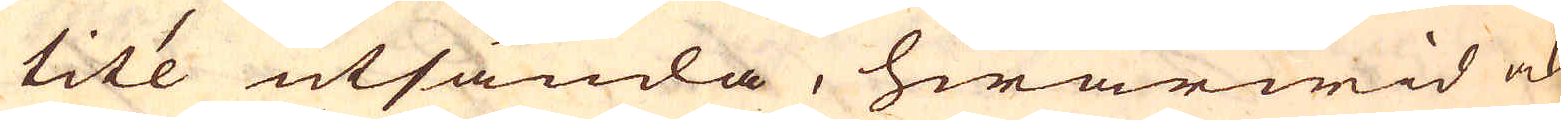tité utsända, hwarwid ock
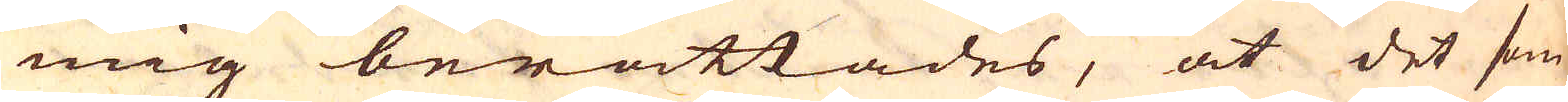mig berättades, at det som
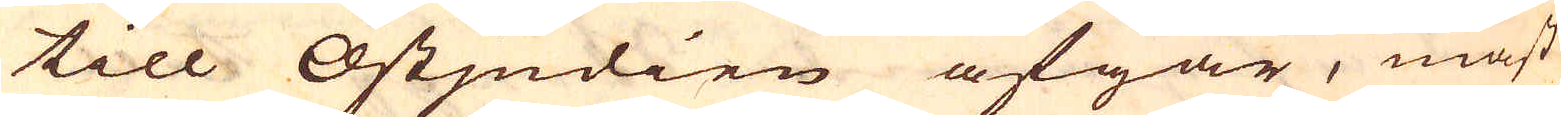till Ostjndien afgår, mäst
